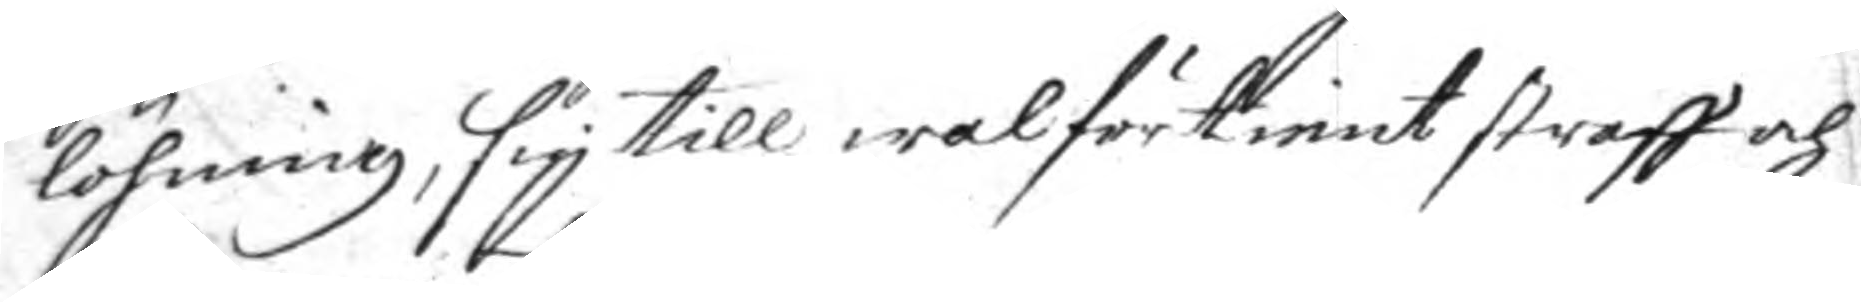löhning, sig till wälförtient straff och
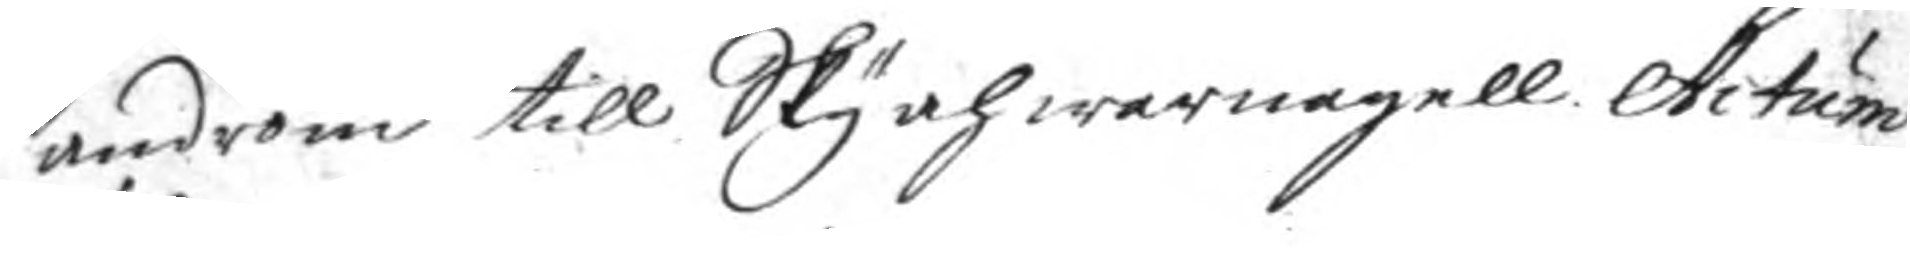androm till Sky och warnagell Actum
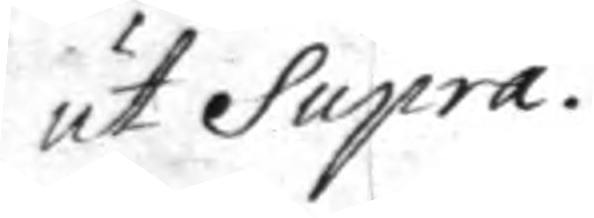ut Supra.
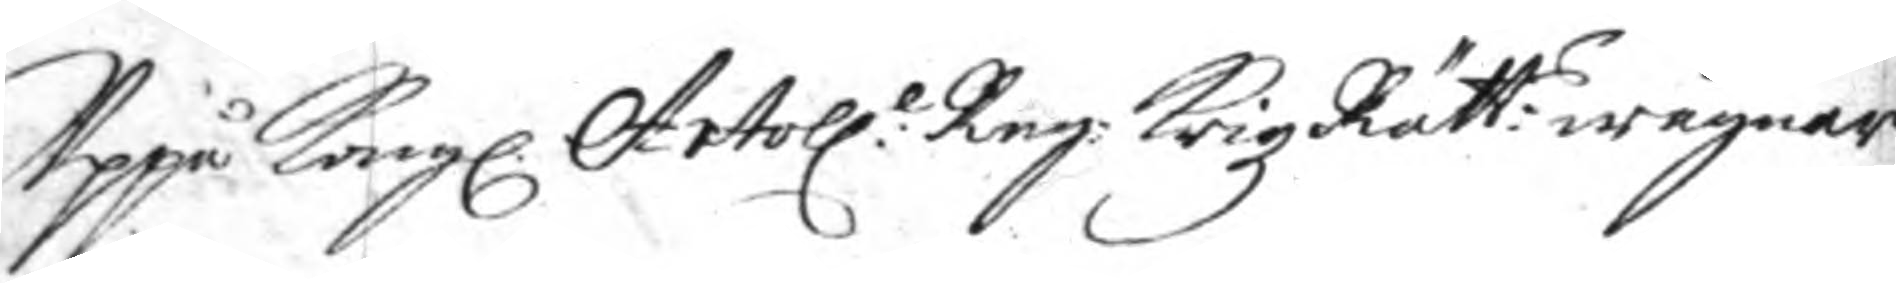Uppå Kongl. Artoll:e Reg: KrigzRätt:s wägnar
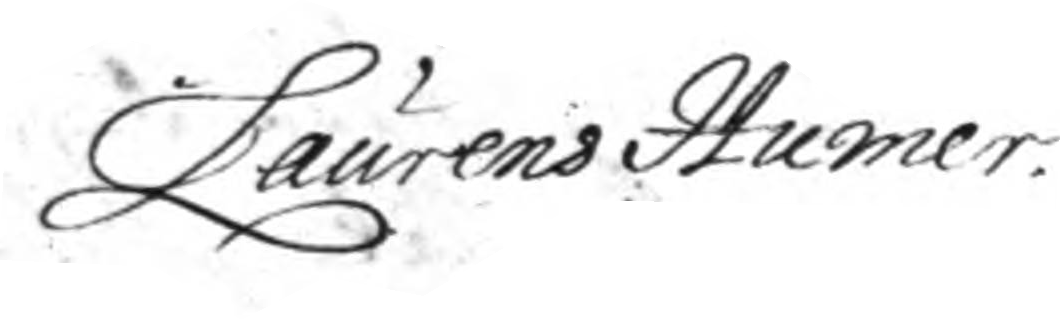Laurens Humer.
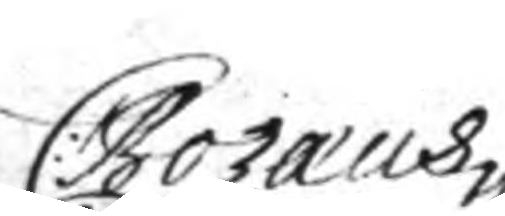C: Bozæus
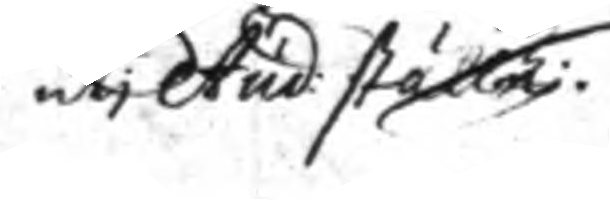uti Aud: ställe.
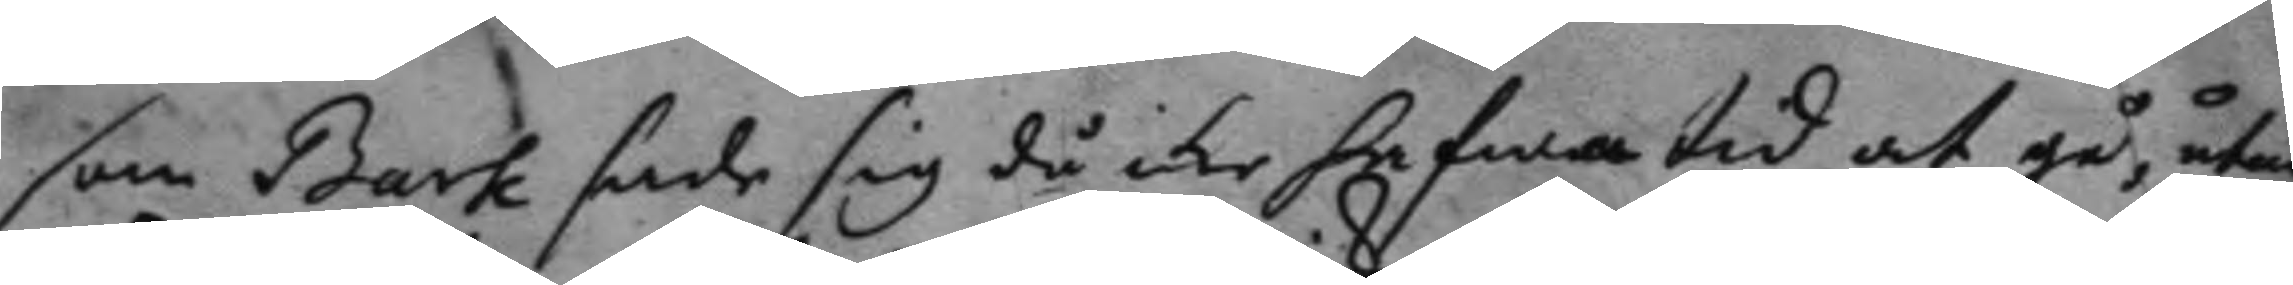som Bark sade sig då icke hafwa tid at gå, utan
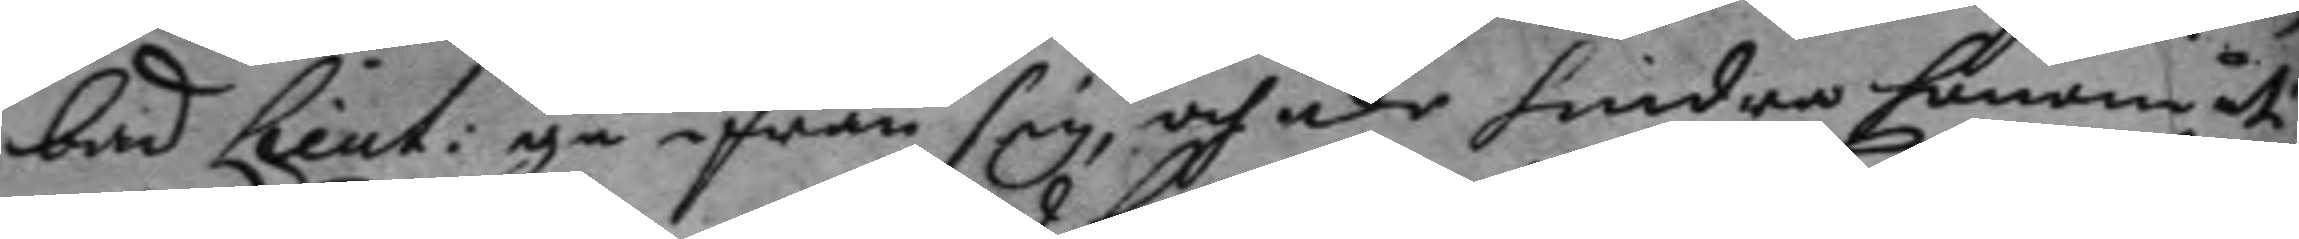bad Lieut: på ifrån sig, och icke hindra honom uti
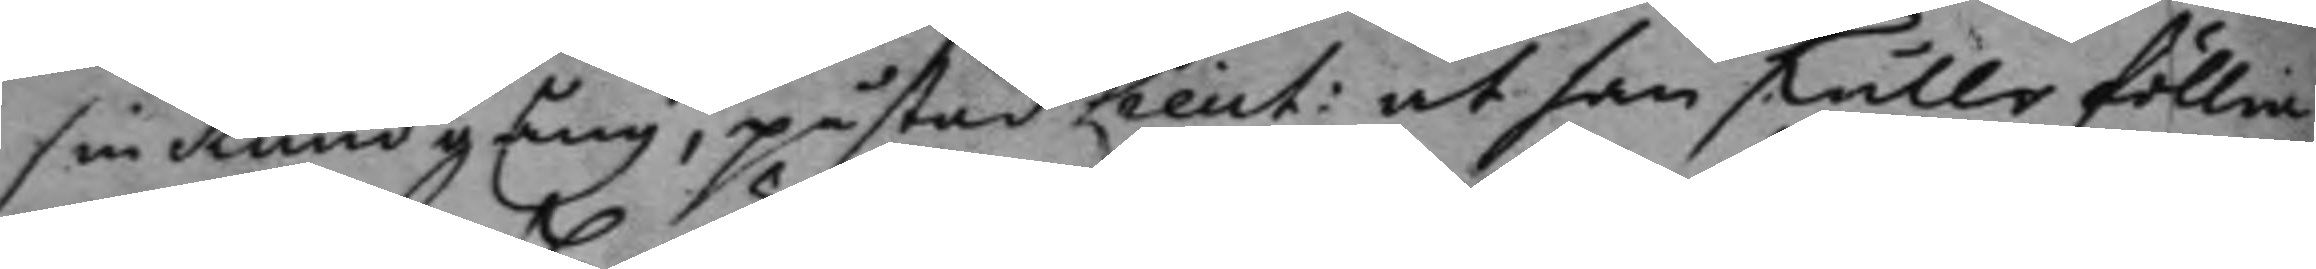sin Rundgång, påstod Lieut: at han skulle föllia
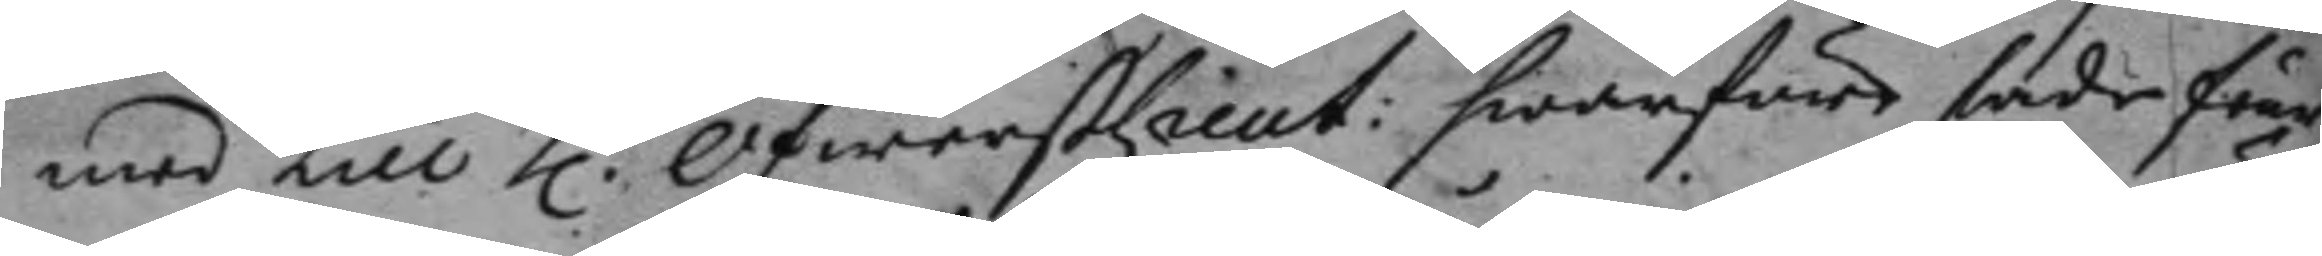med till h:r ÖfwerstLieut: hwarföre sade feur¬
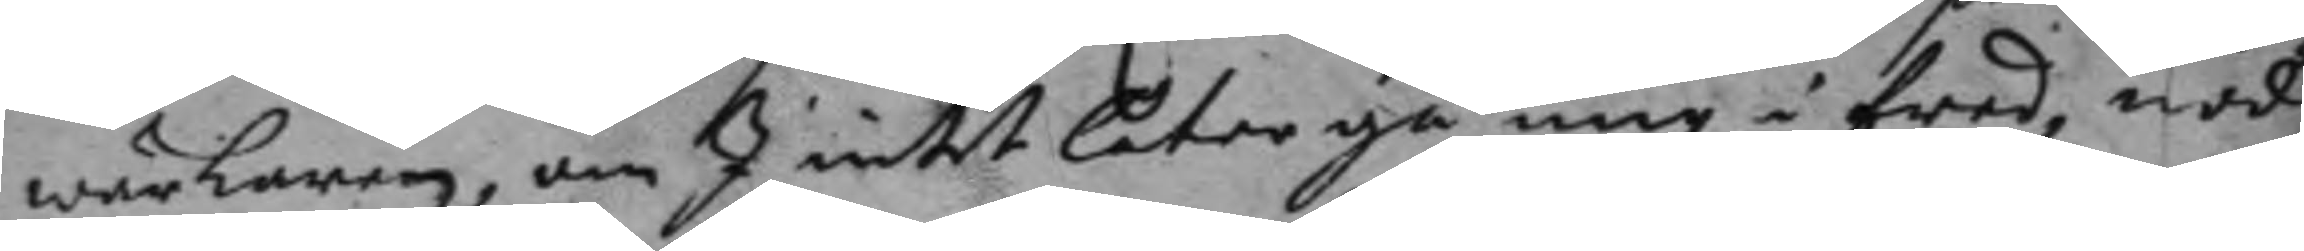wärkaren, om I intet låter gå mig i fred, nöd¬
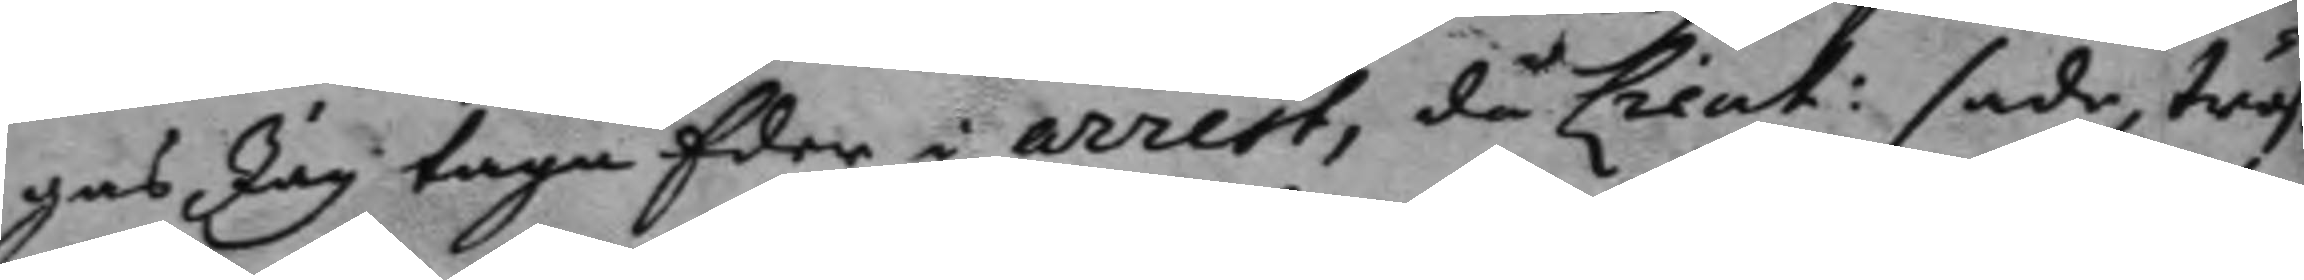gas Jag taga Eder i arrest, då Lieut: sade, tråß
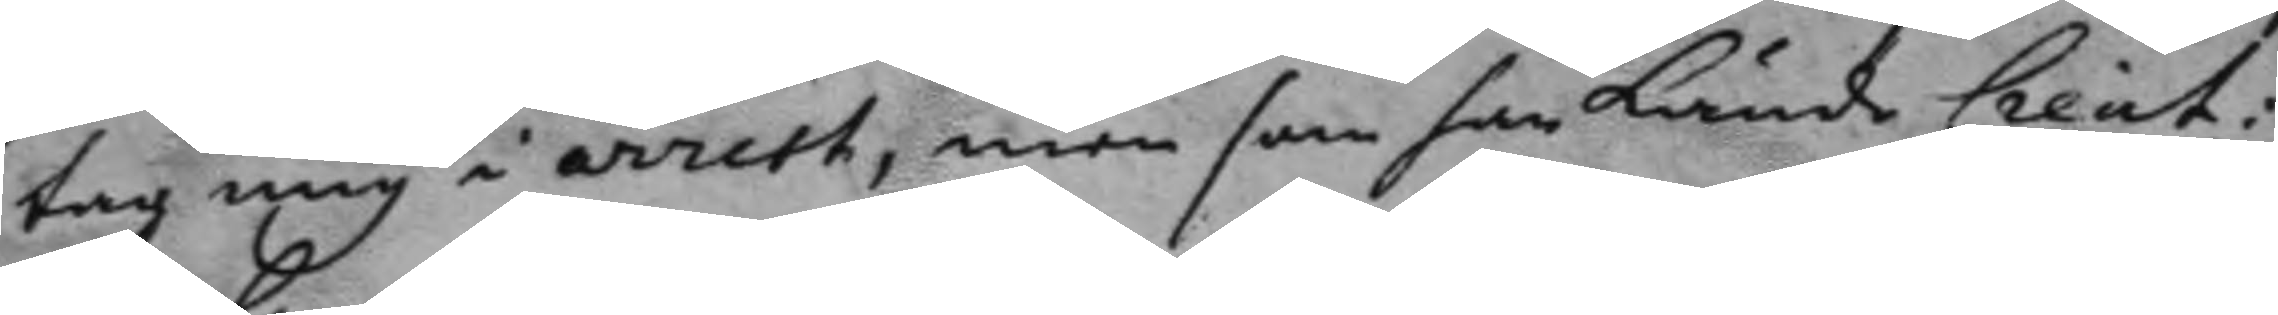tag mig i arrest, men som han kunde Lieut:
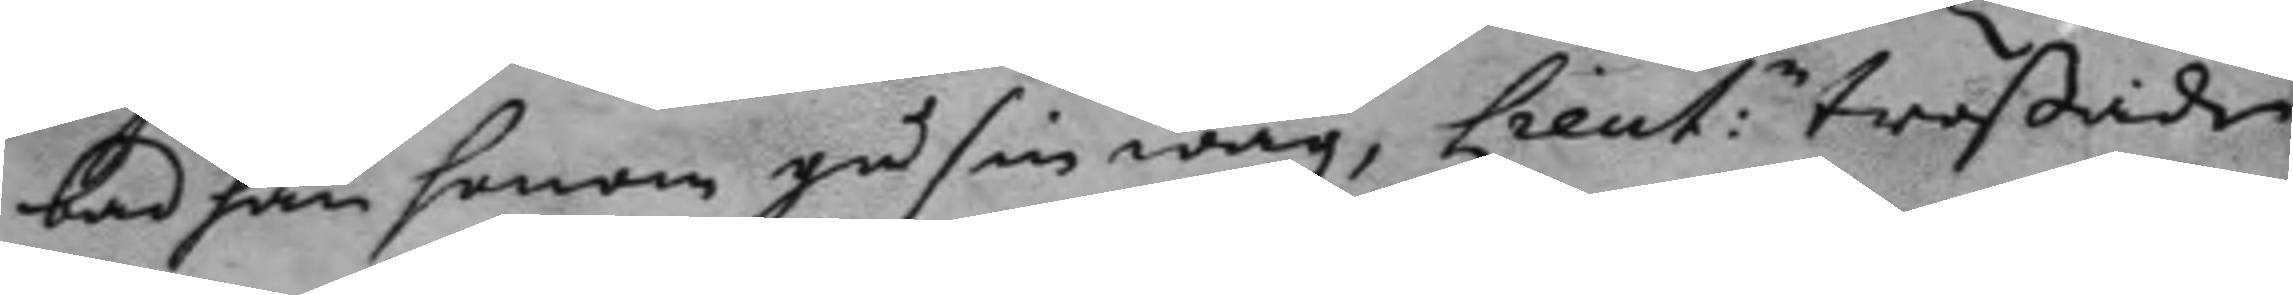bad han honom gå sin wäg, Lieut:n trotsade
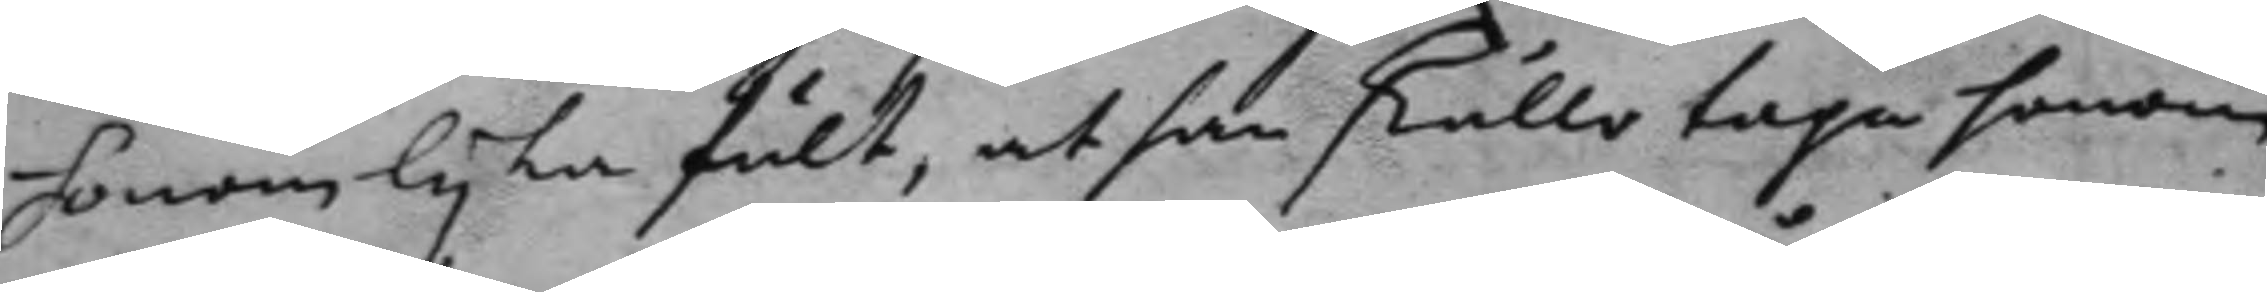honom lyka fult, at han skulle taga honom
